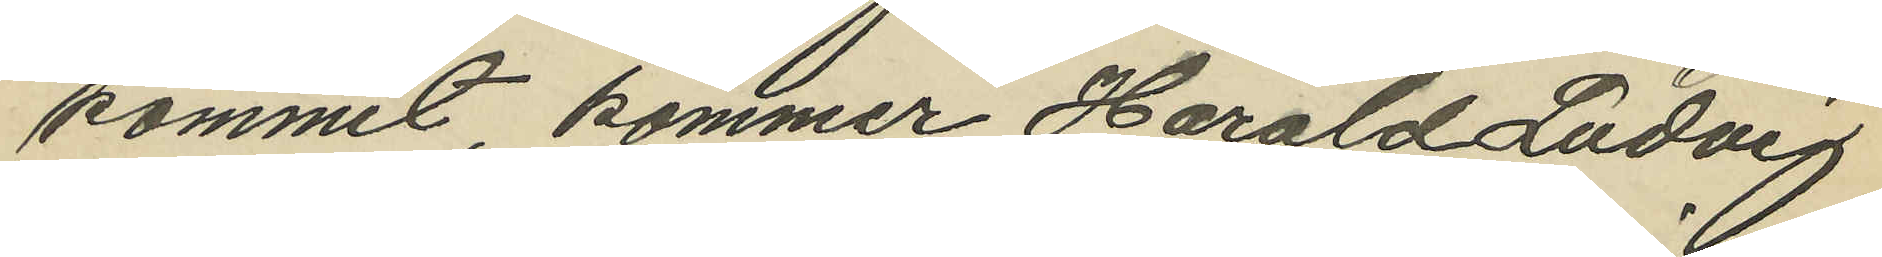kommit, kommer Harald Ludvig
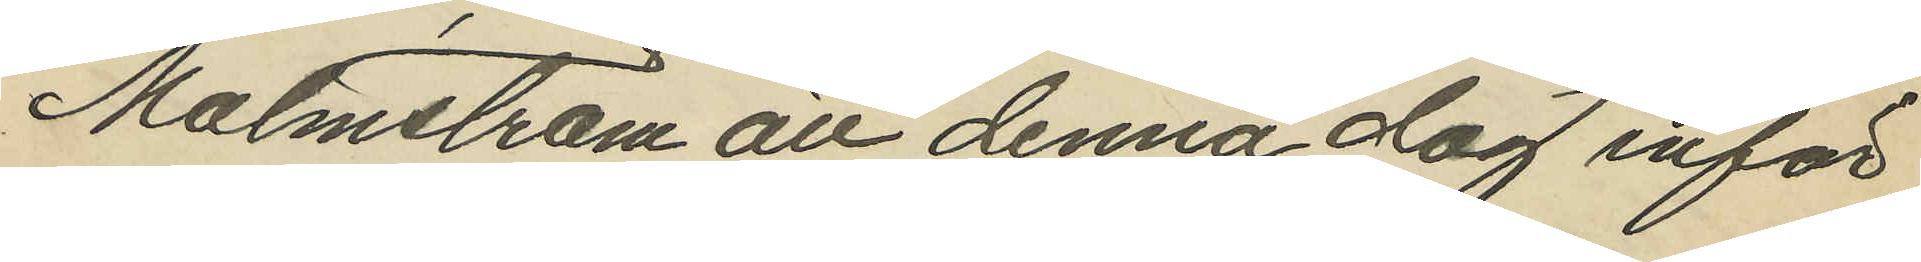Malmström att denna dag inför
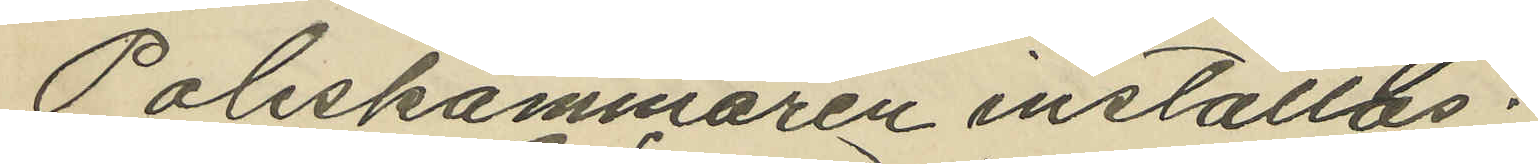Poliskammaren inställas.
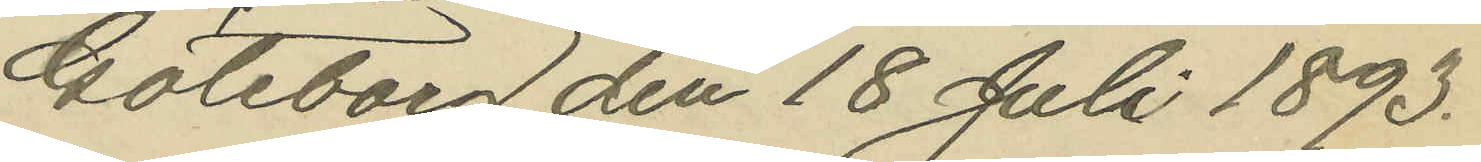Göteborg den 18 Juli 1893.
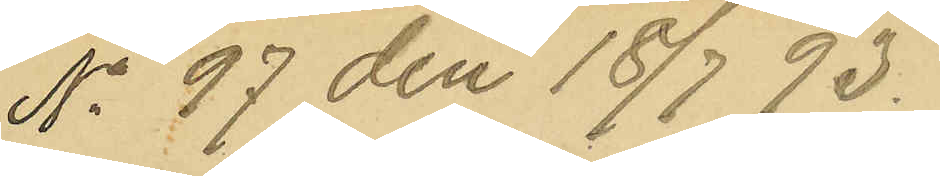No 97 den 18/7 93.
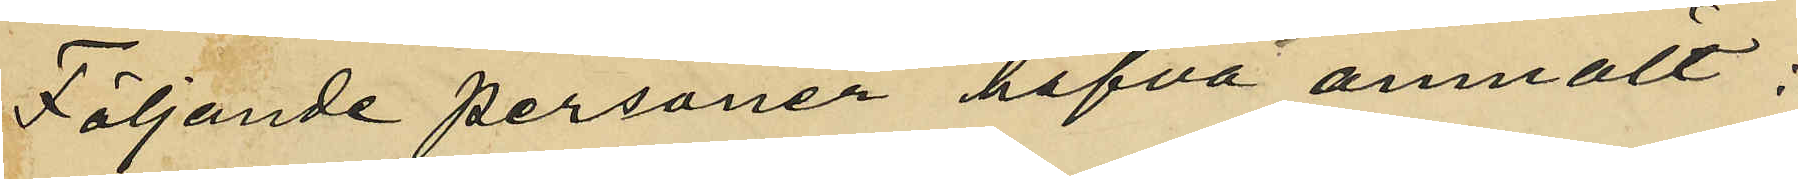Följande personer hafva anmält:
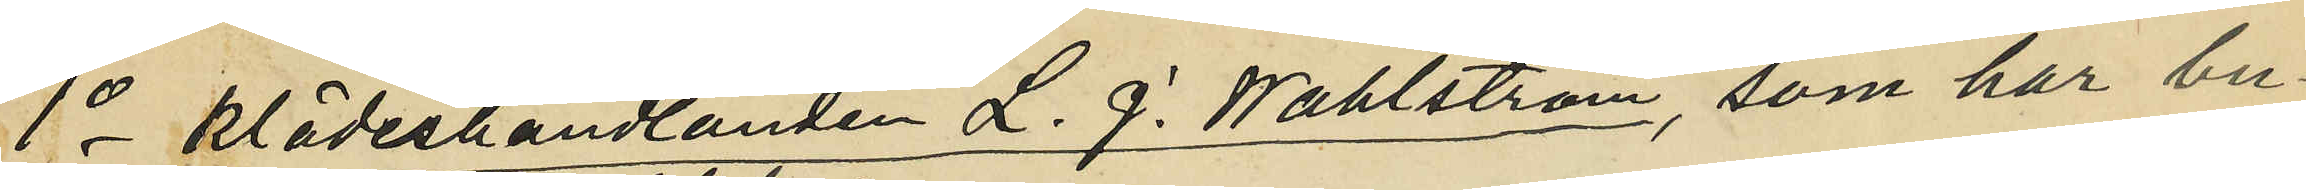1o klädeshandlanden L. J. Wahlström, som har bu¬
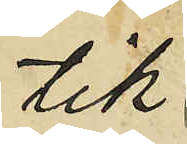tik
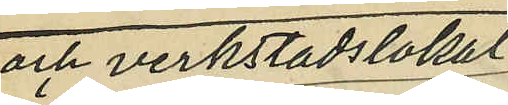och verkstadslokal
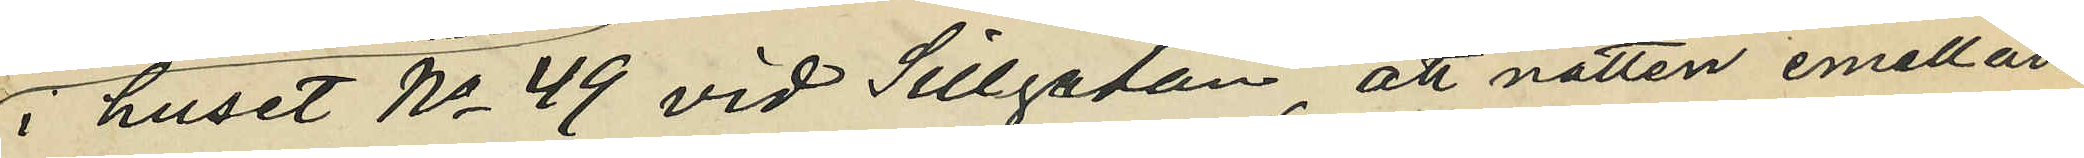i huset No 49 vid Sillgatan, att natten emellan
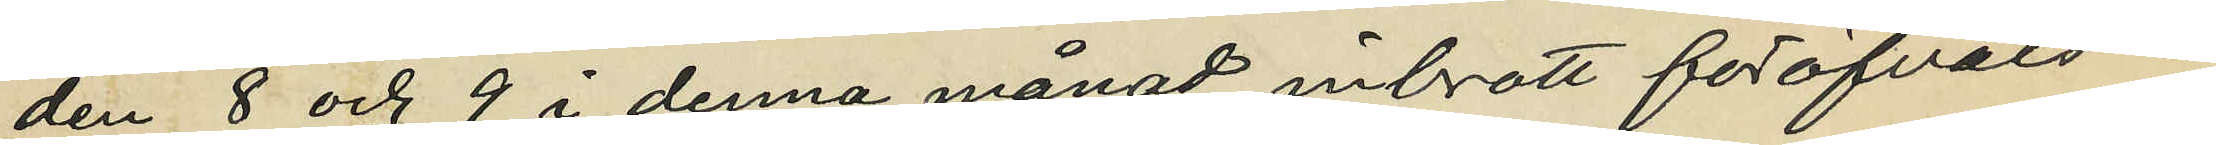den 8 och 9 i denna månad inbrott föröfvats i
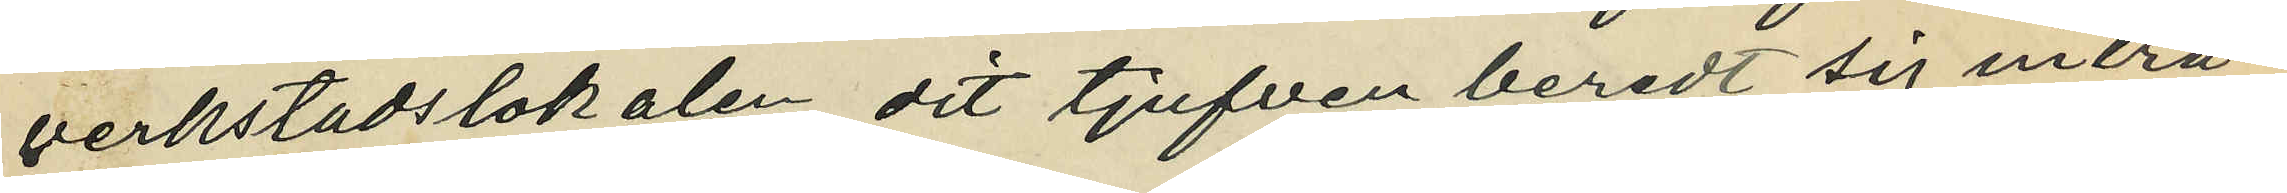verkstadslokalen, dit tjufven beredt sig inträ¬
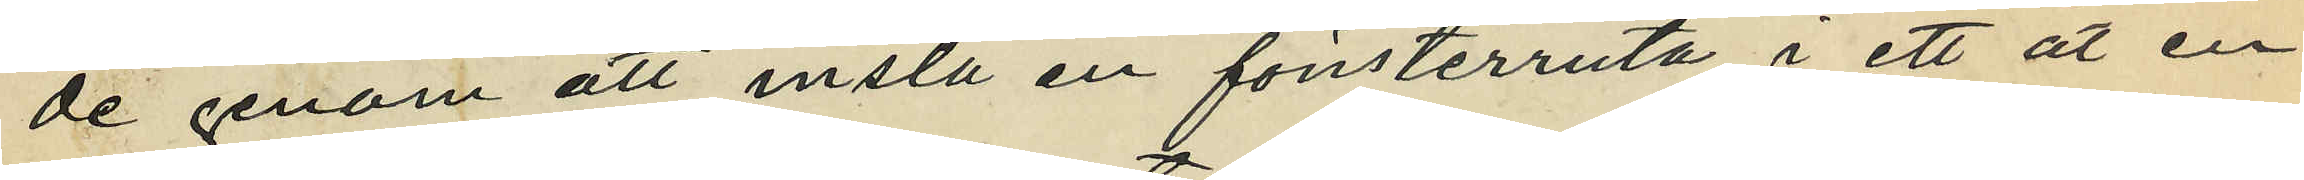de genom att inslå en fönsterruta i ett åt en
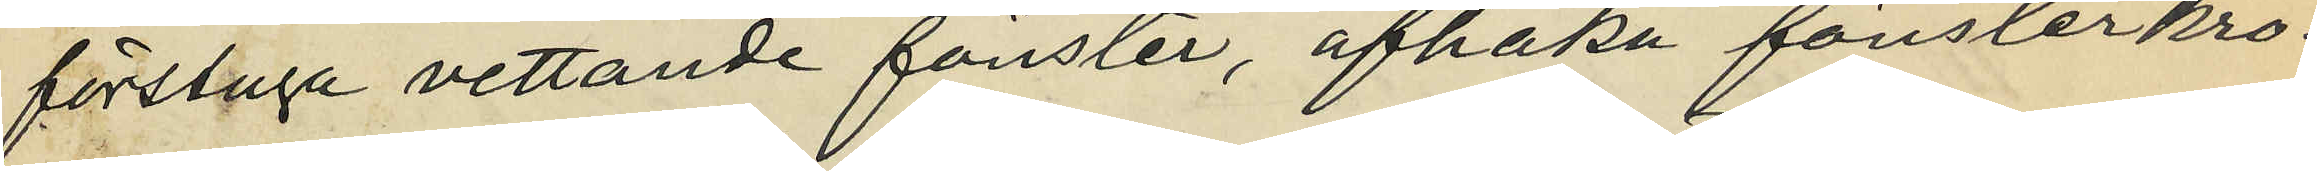förstuga vettande fönster, afhaka fönsterkro¬
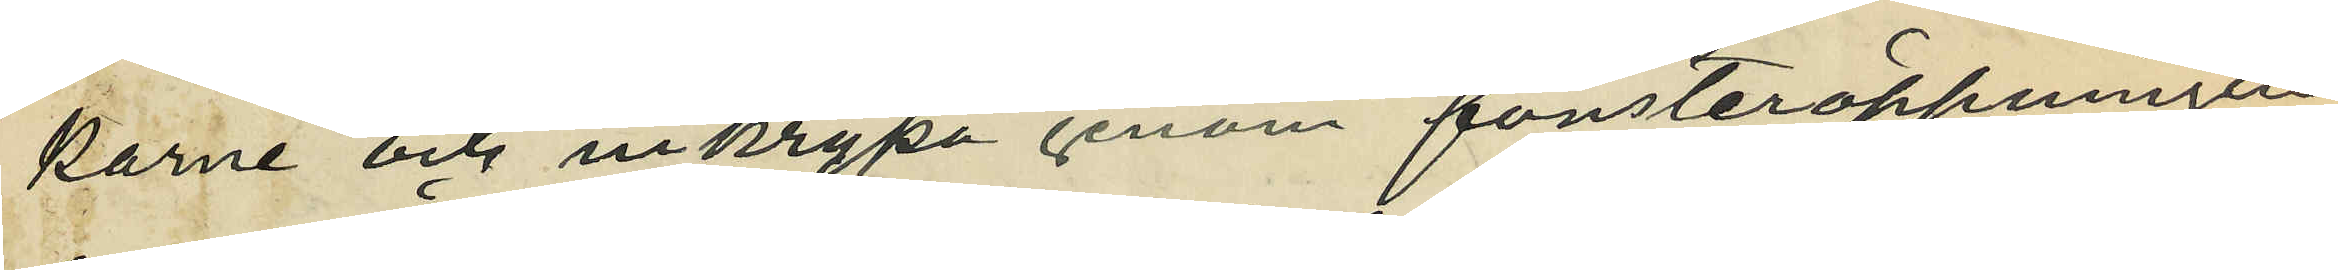karne och inkrypa genom fönsteröppningen;
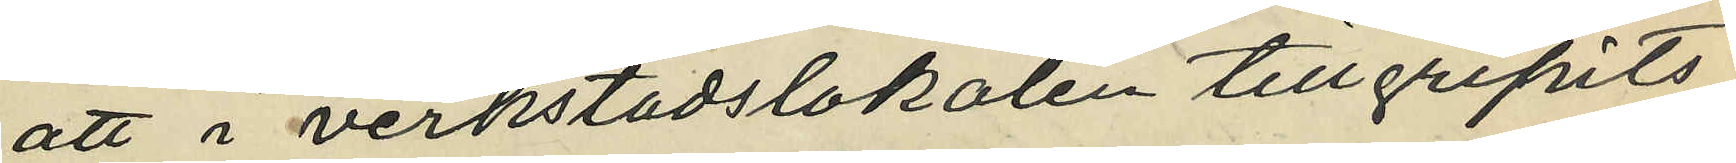att i verkstadslokalen tillgripits
